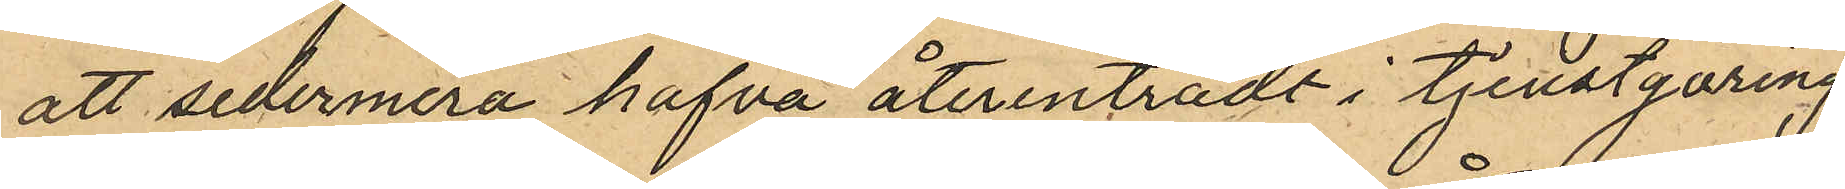att sedermera hafva återinträdt i tjenstgöring
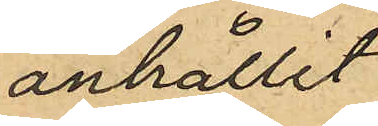anhållit
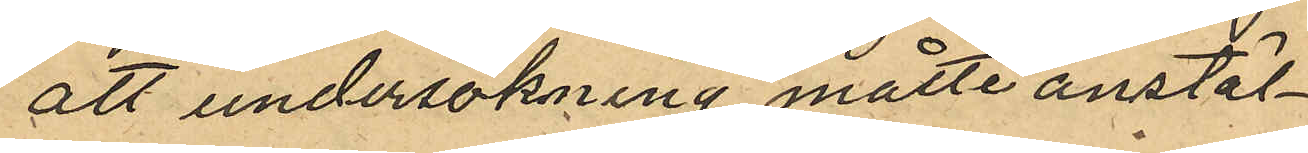att undersökning måtte anstäl¬
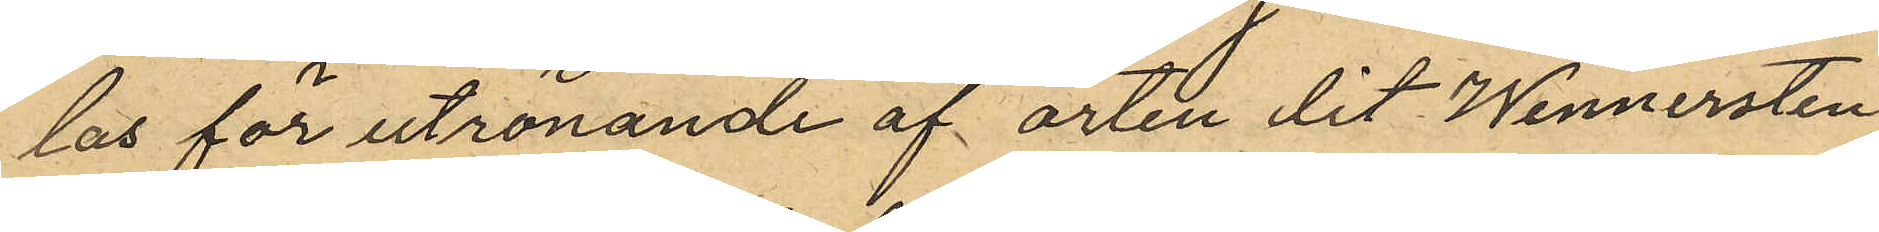las för utrönande af orten dit Wennersten
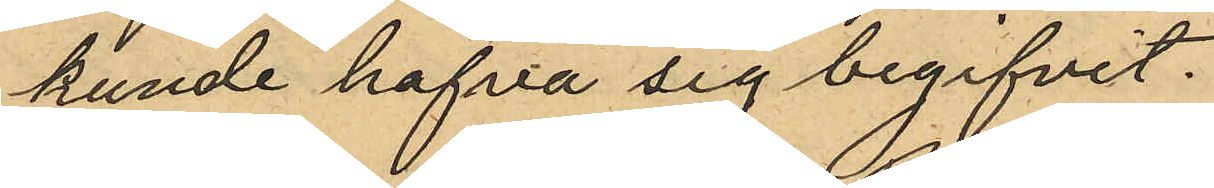kunde hafva sig begifvet.
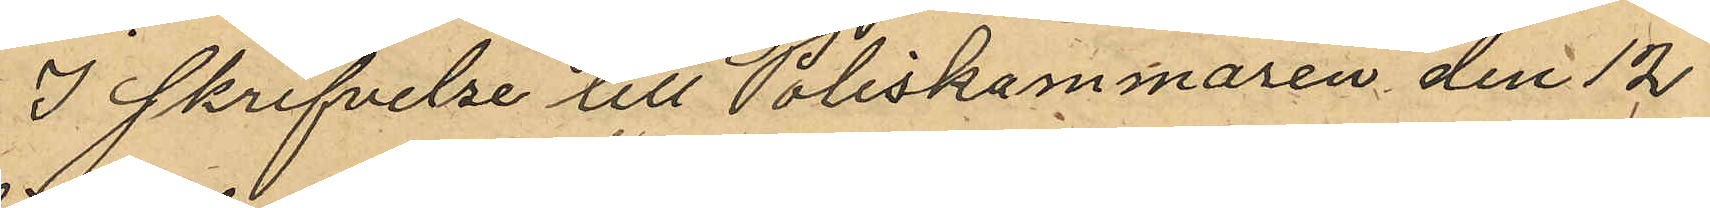I skrifvelse till Poliskammaren den 12
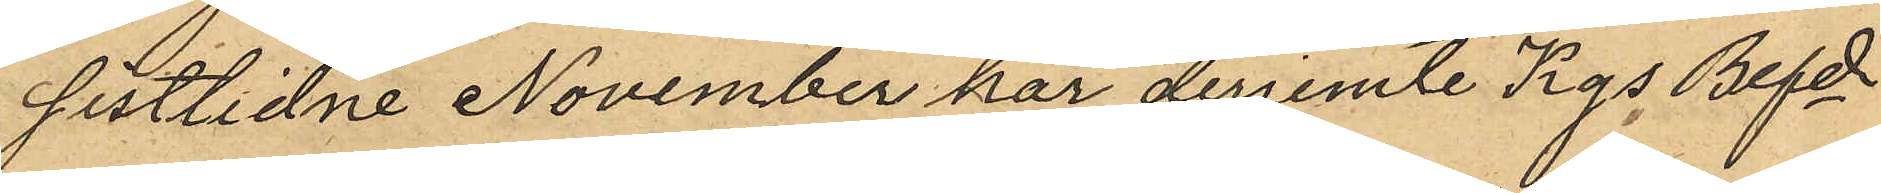sistlidne November har derjemte Kgs Befde
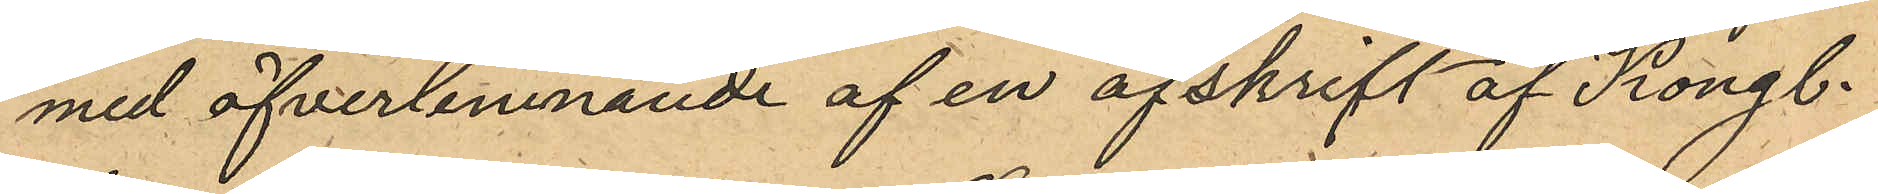med öfverlemnande af en afskrift af Kongl.
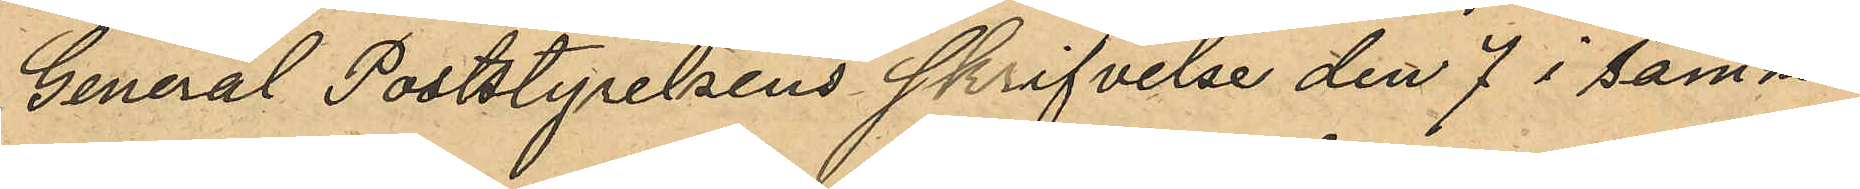General Poststyrelsens skrifvelse den 7 i samma
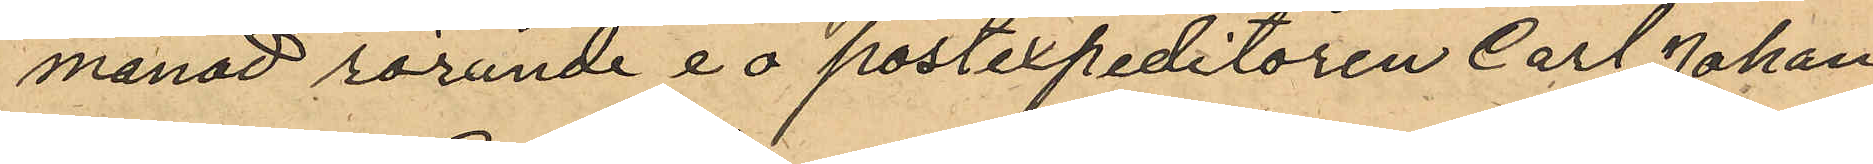månad rörande e o postexpeditören Carl Johan
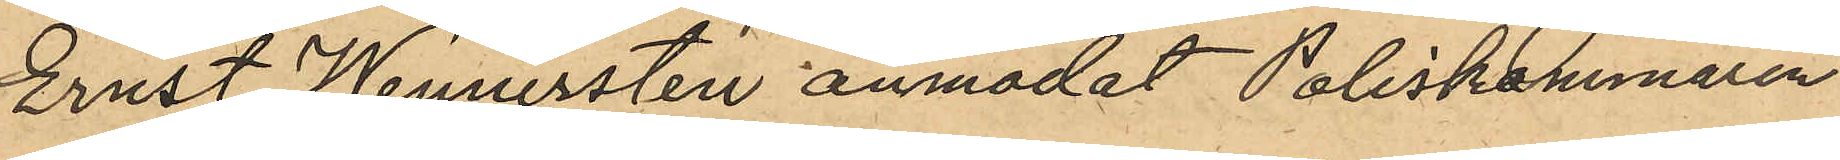Ernst Wennersten anmodat Poliskammaren
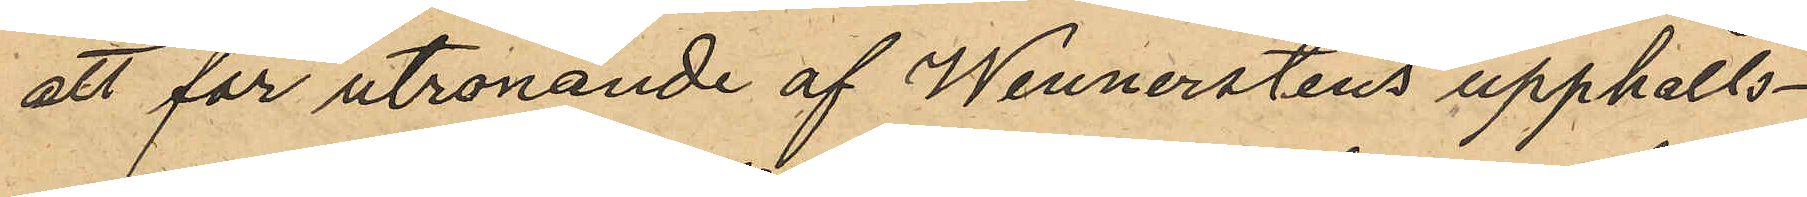att för utrönande af Wennerstens upphålls¬
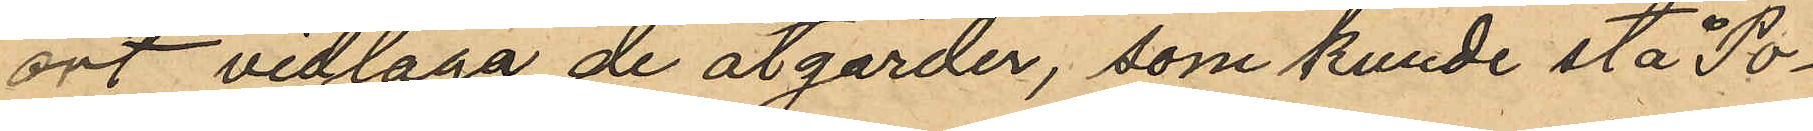ort vidlaga de åtgärder, som kunde stå Po¬
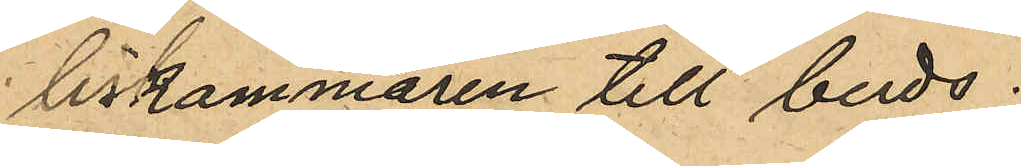liskammaren till buds.
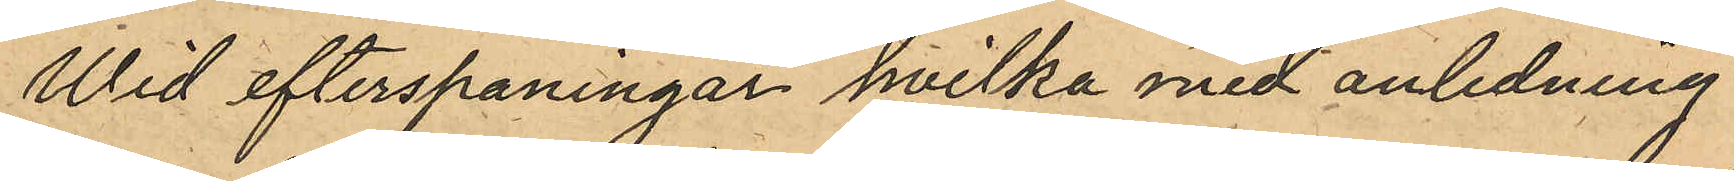Wid efterspaningar, hvilka med anledning
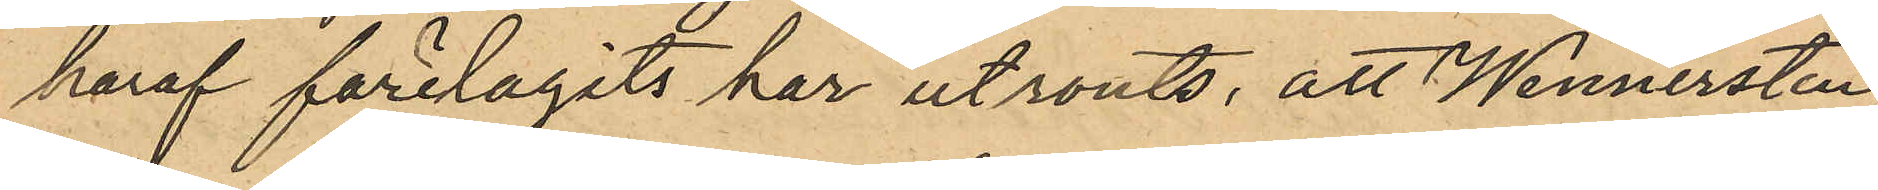häraf förelagits har utrönts, att Wennersten
